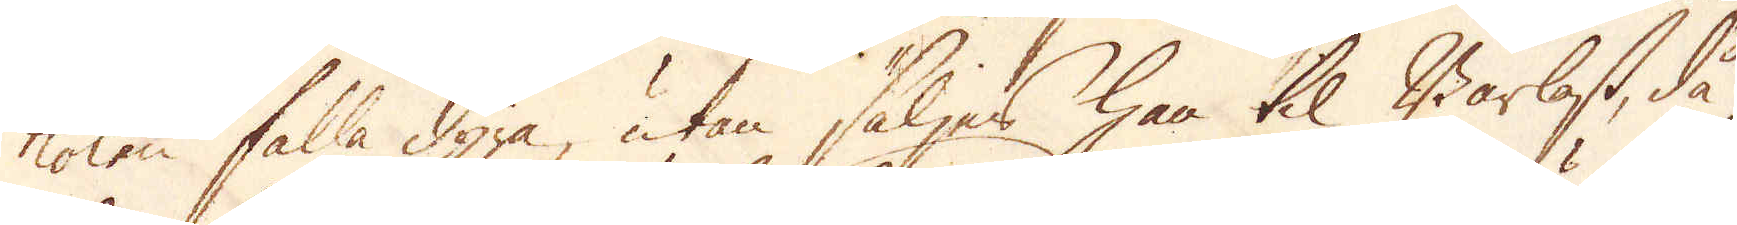kolen falla dyra, utan säljes han til Barlast, då
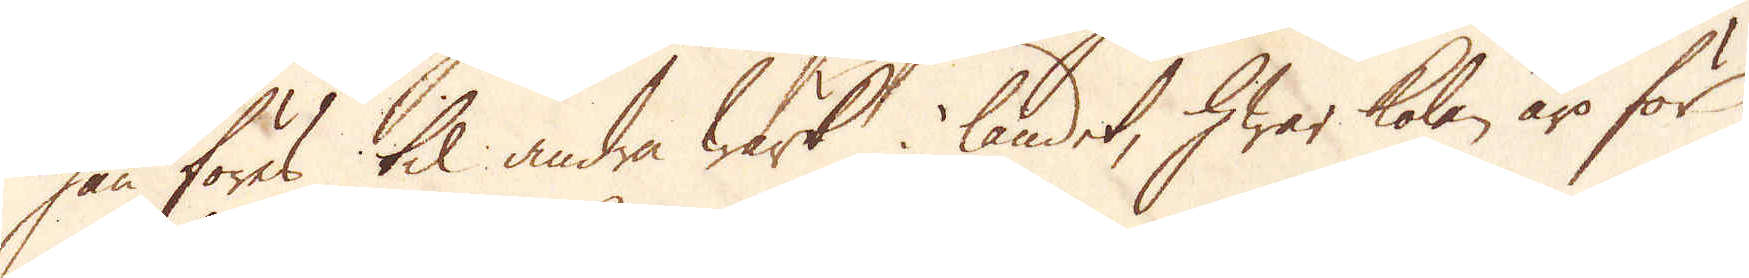han föres til andra Wärk i landet, hwar kolen äro för
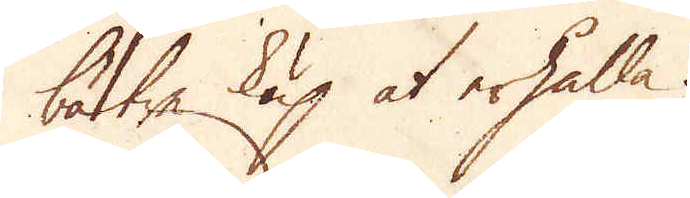bättre köp at erhålla.
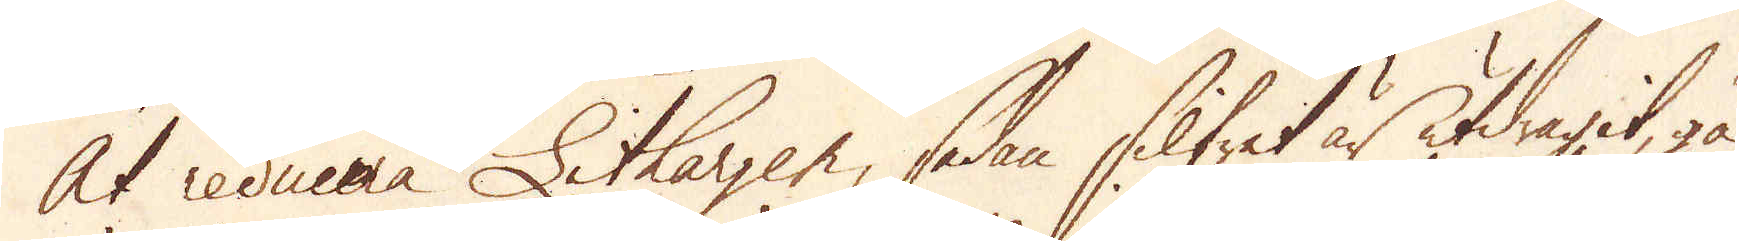At reducera Lithargen, sedan Silfret är utdragit, gå
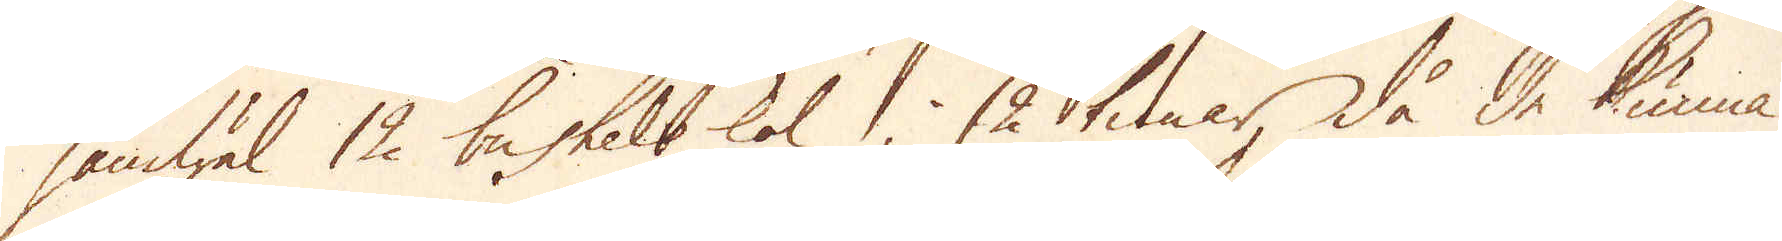jämwäl 12 bushels kol i 12 timar, då de kunna
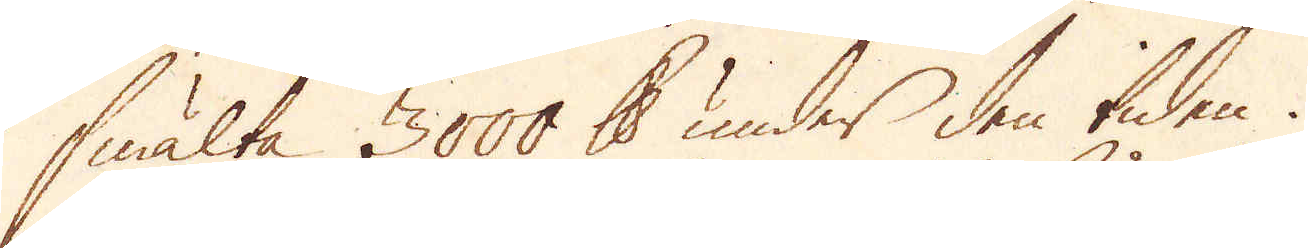smälta 3000 skålpund under den tiden.
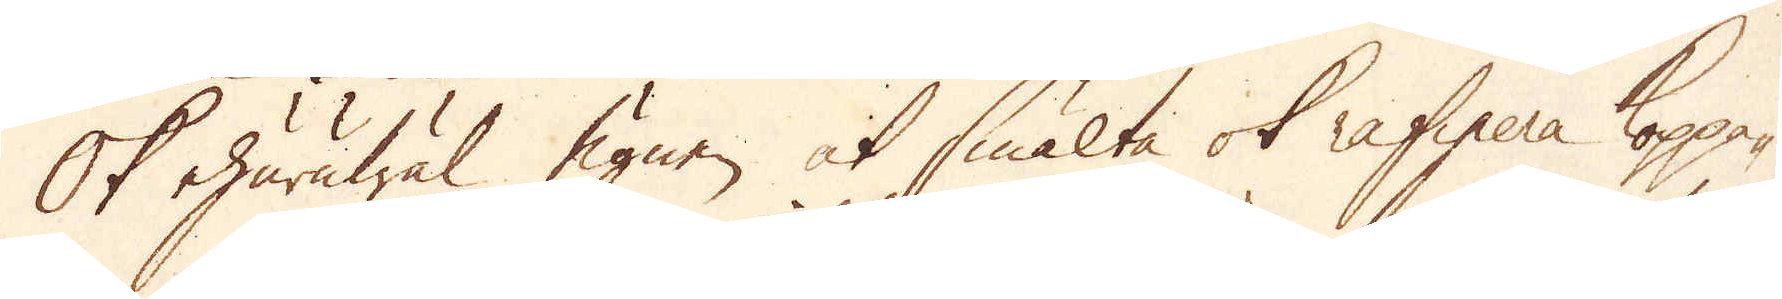Ok ehuruwäl ugnen at smälta ok rafinera Koppa-
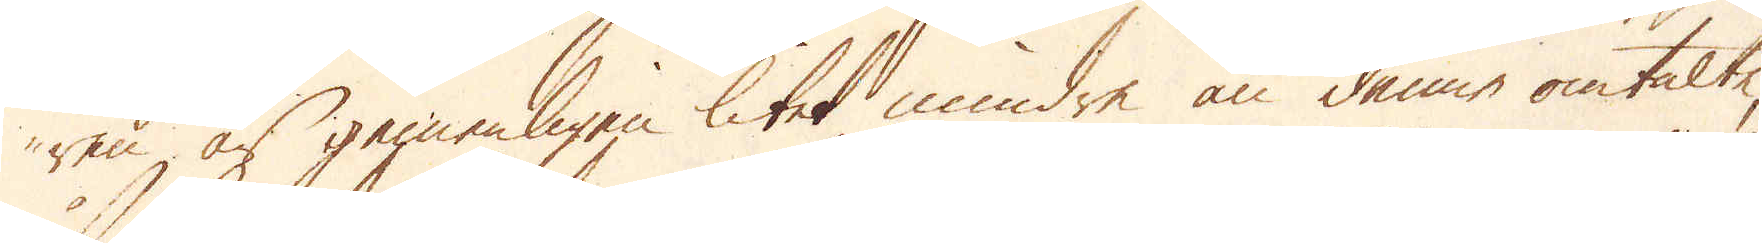ren, är gemenligen litet mindre än denne omtalte,
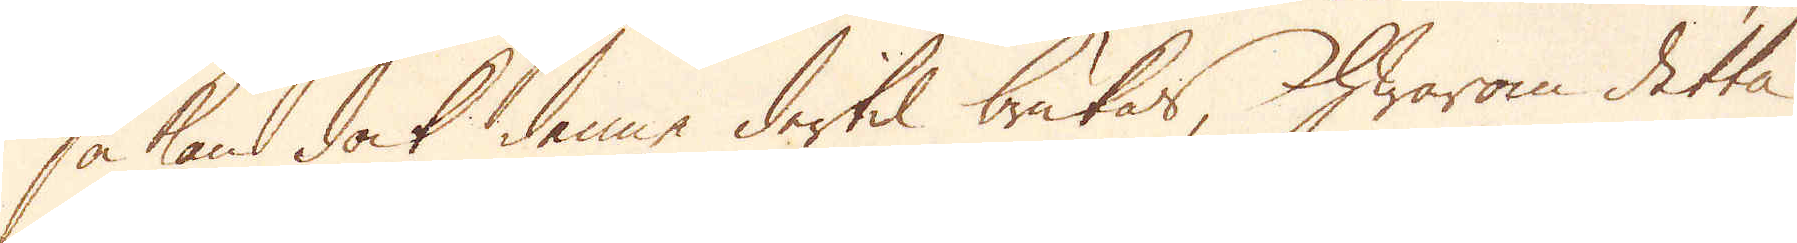så kan dock denne dertil brukas, hwarom detta
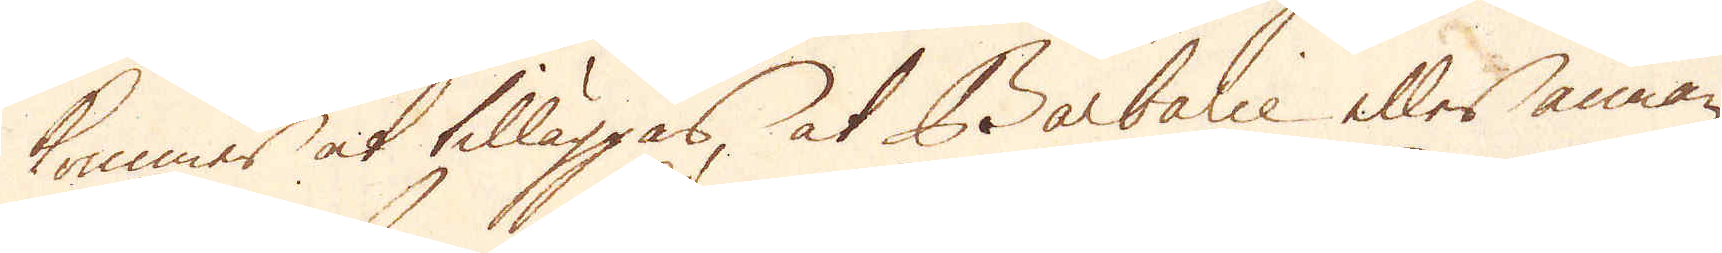kommer at tilläggas, at Barbalie eller annan
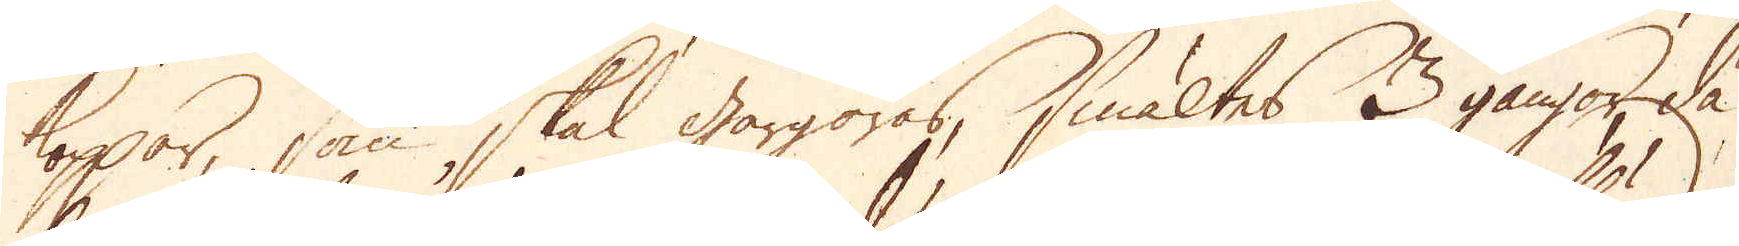koppar, som skal gårgöras, smältes 3 gångor, då
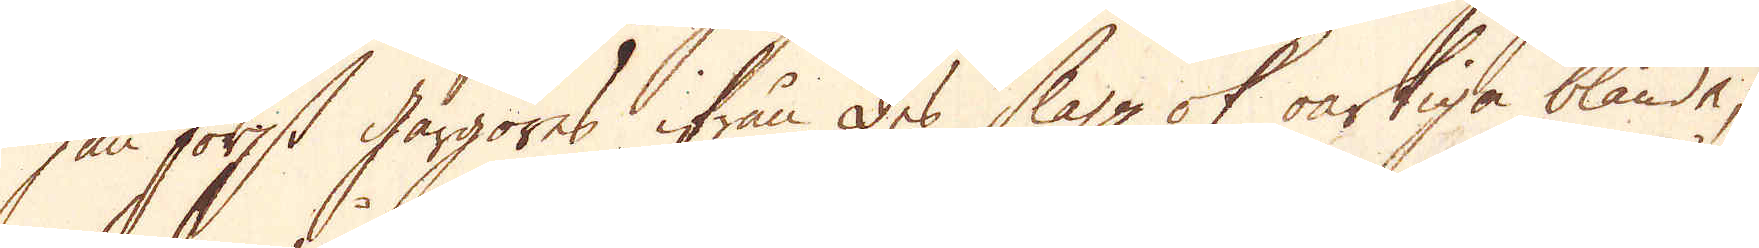han först gårgöres ifrån des slagg ok oartiga blände;
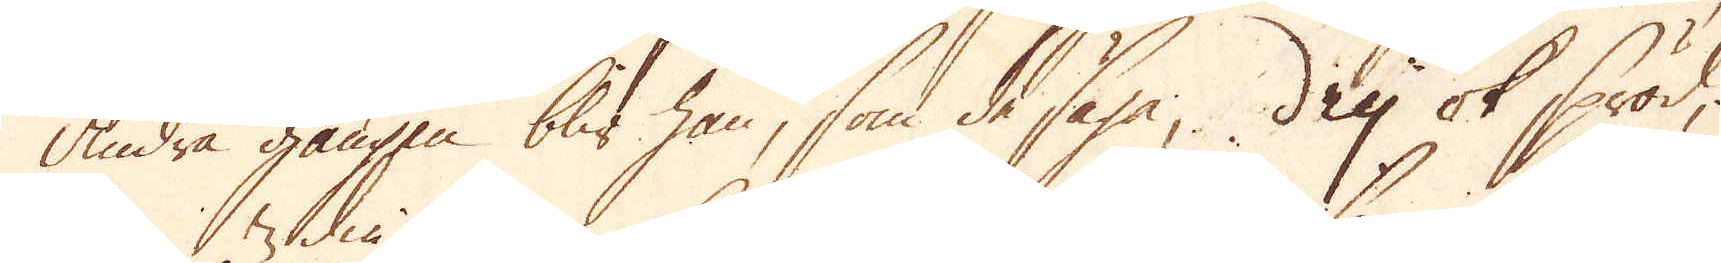andra gången blir han, som de säga, dry ok spröd,
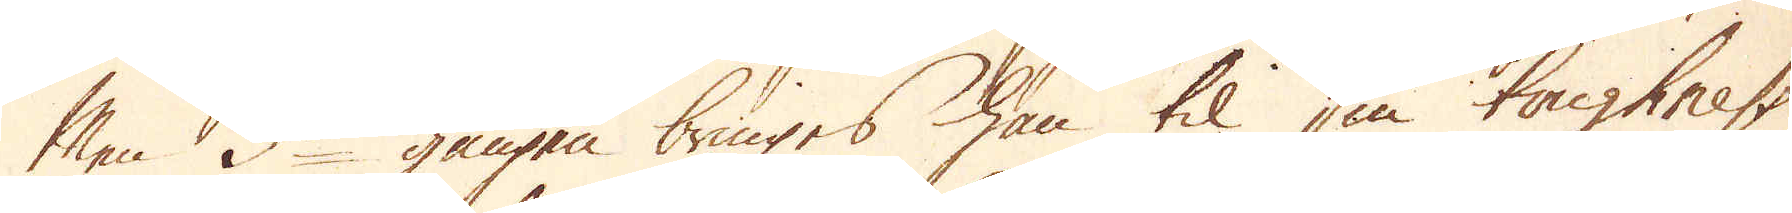Men 3die gången bringes han til sin toughness
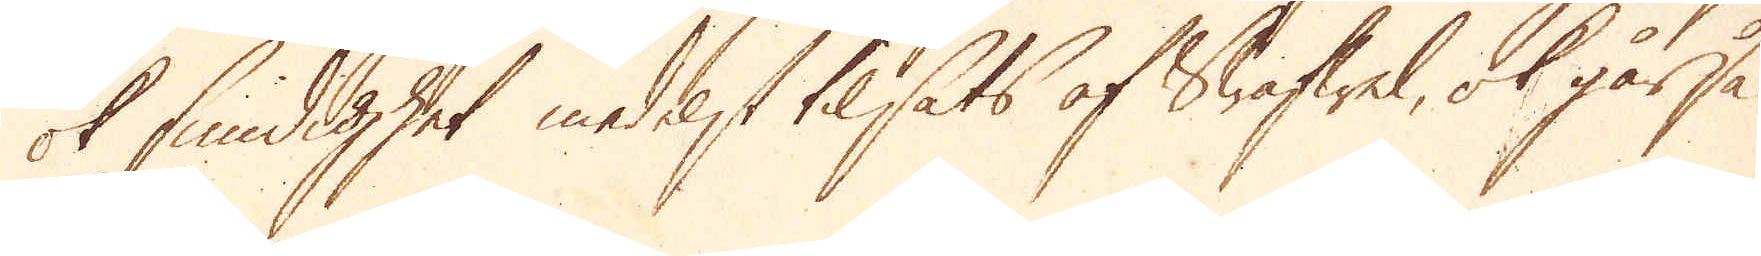ok smidighet medelst tilsats af Swafwel, ok går så
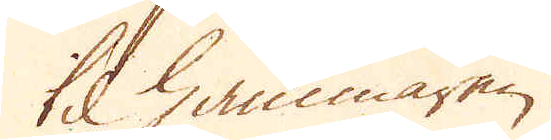til hammaren.
